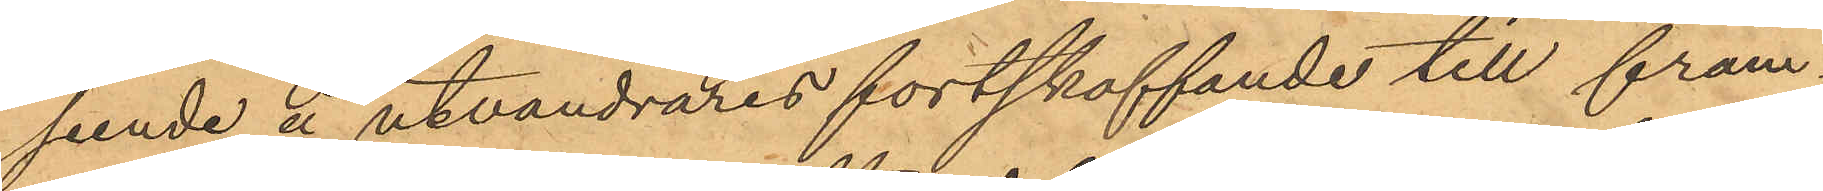seende å utvandrares fortskaffande till främ¬
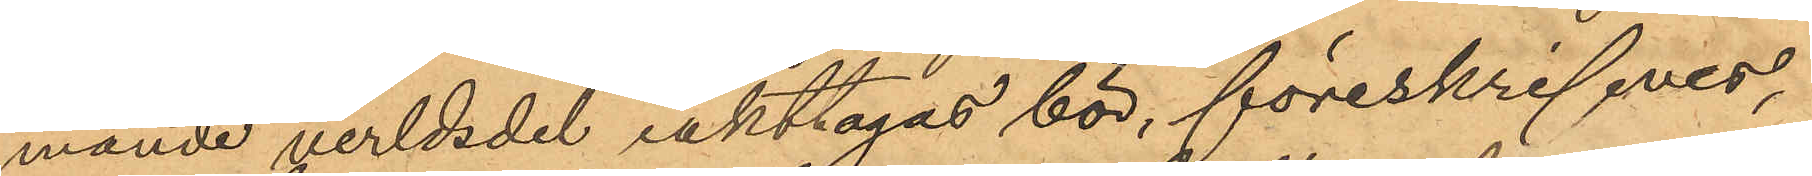mande verldsdel iakttagas bör, föreskrifver,
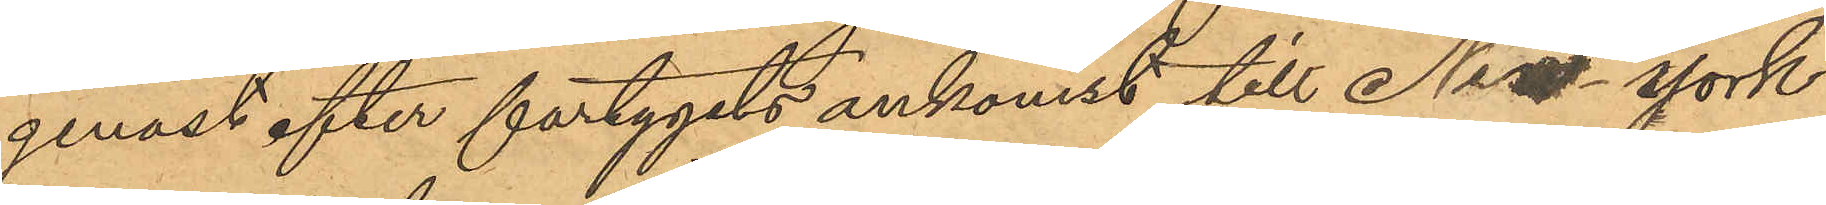genast efter fartygets ankomst till New York
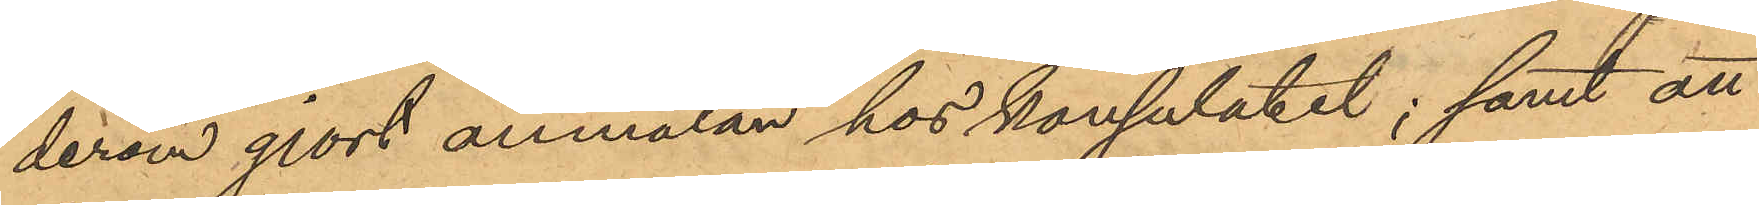derom gjort anmälan hos konsulatet; samt att
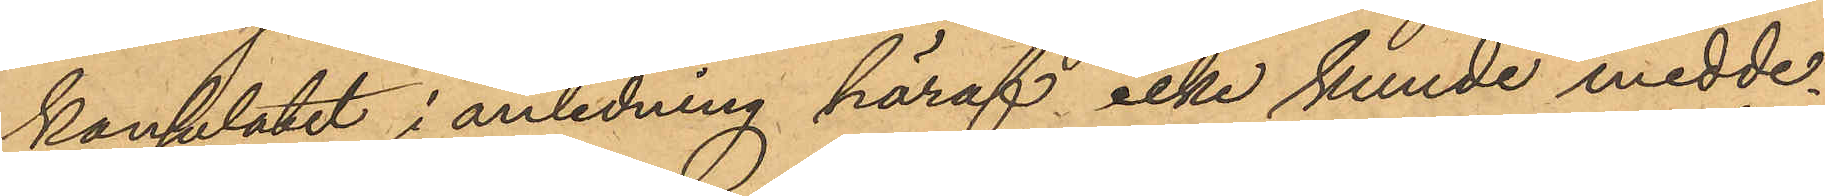konsulatet i anledning häraf icke kunde medde¬
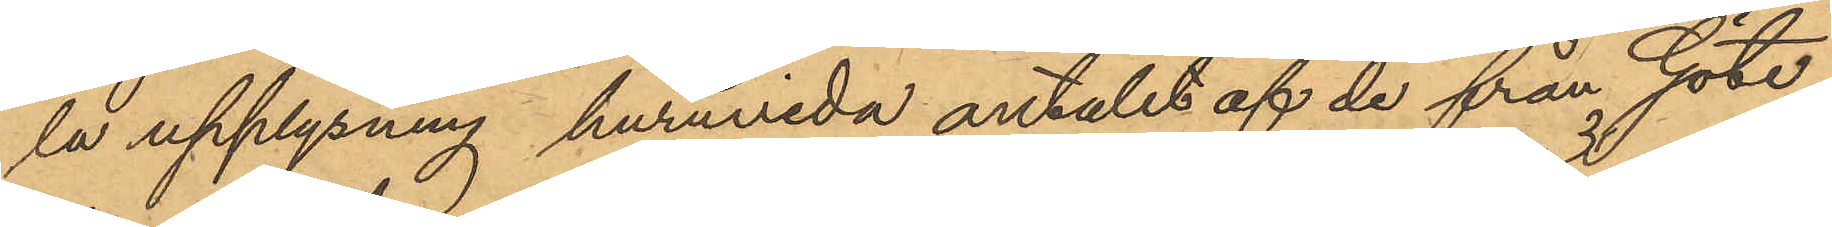la upplysning huruvida antalet af de från Göte¬
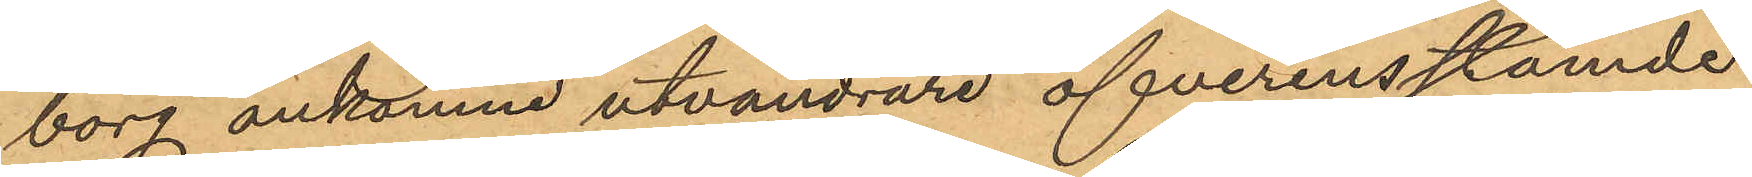borg ankomne utvandrare öfverensstämde
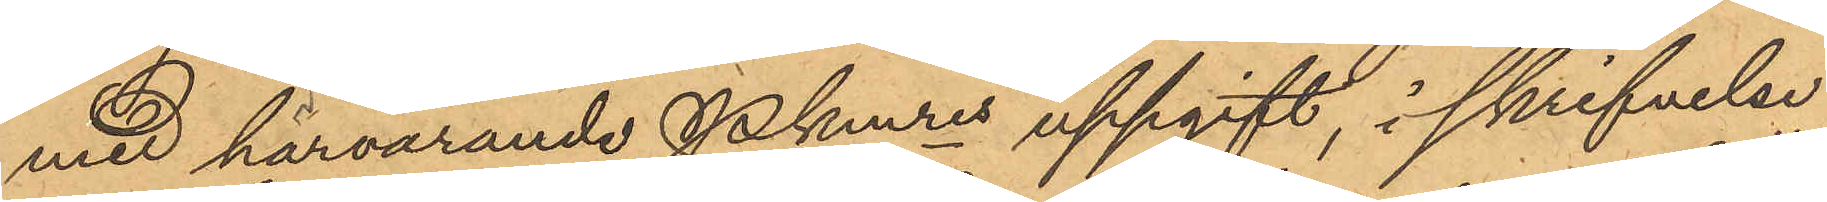med härvarande Pkmres uppgift, i skrifvelse
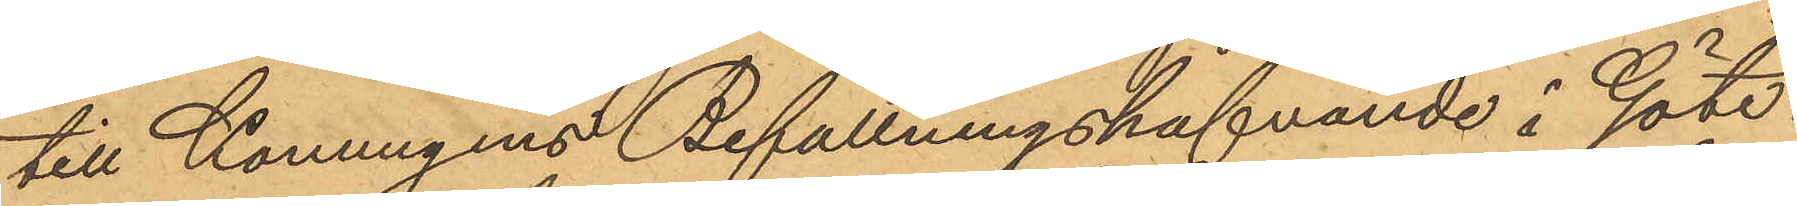till Konungens Befallningshafvande i Göte¬
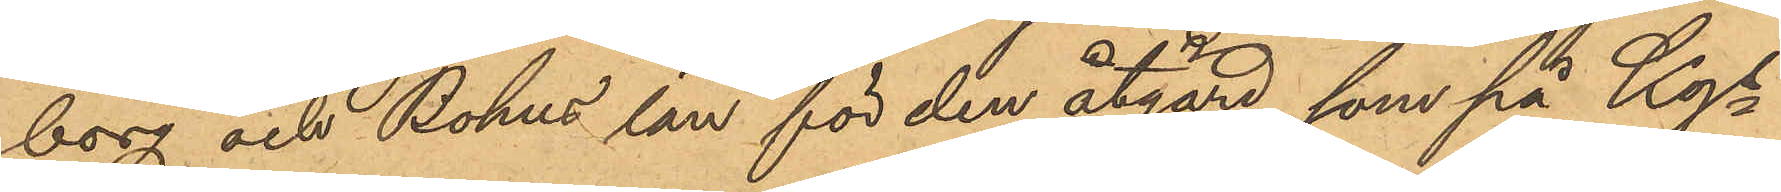borg och Bohus län för den åtgärd, som på Kgs
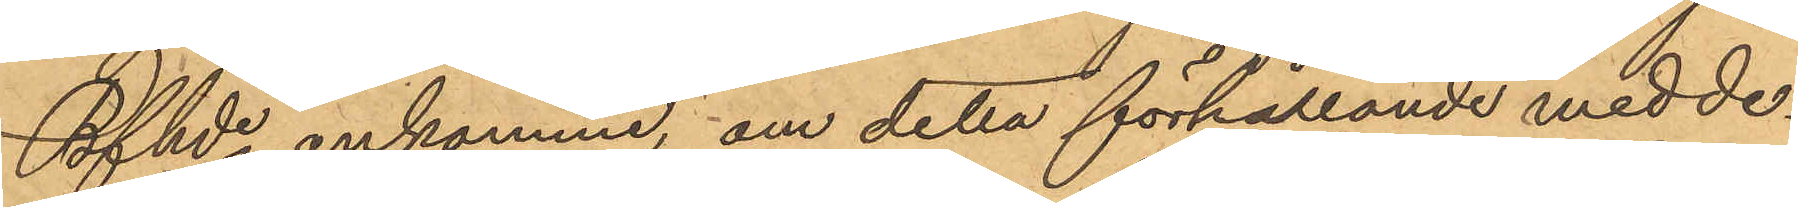Bfhde ankomme; om detta förhållande medde¬
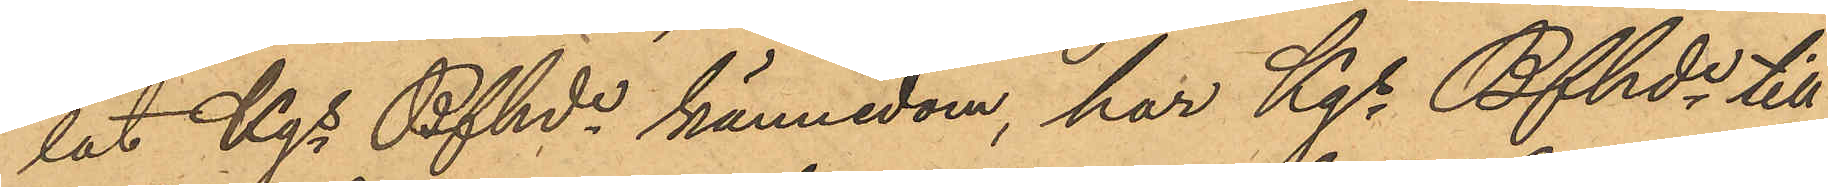lat Kgs Bfhds kännedom, har Kgs Bfhde till
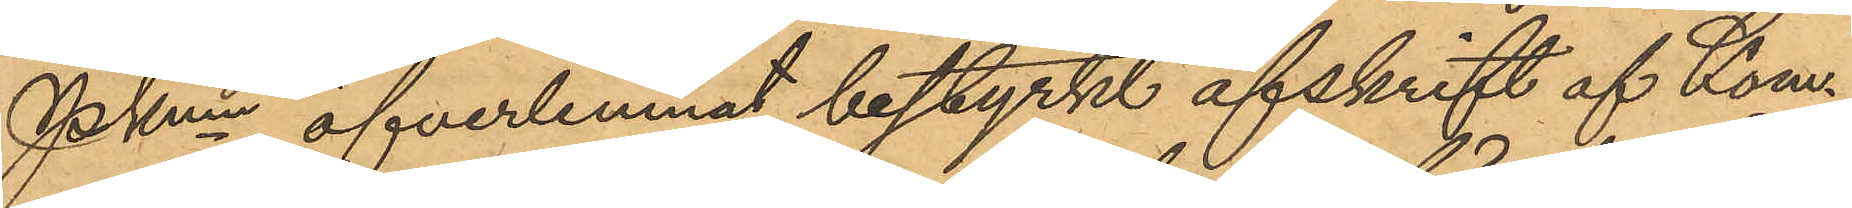PKmn öfverlemnat bestyrkt afskrift af Kom¬
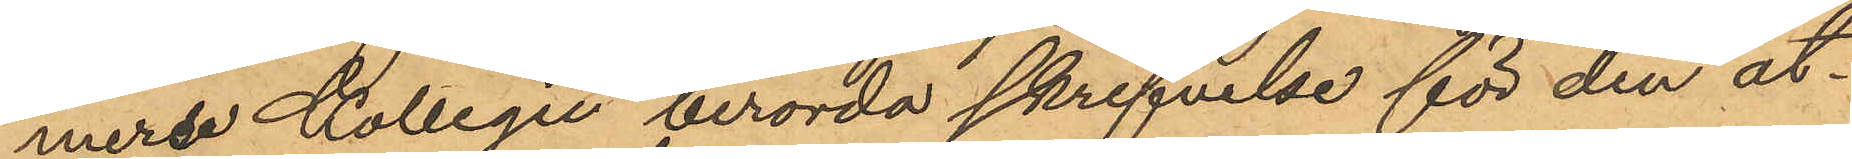merse Kollegei berörda skrifvelse för den åt¬
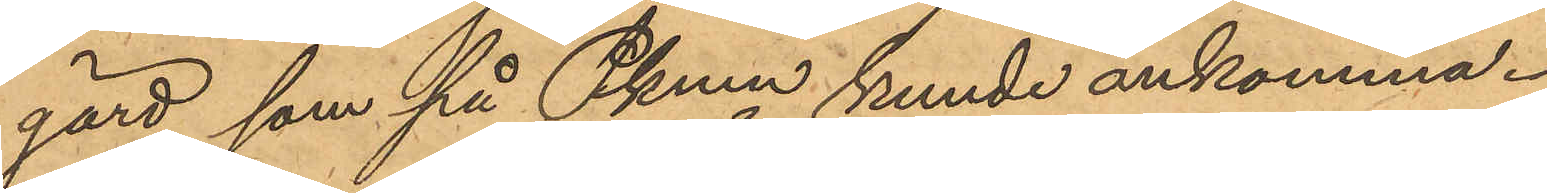gärd, som på Pkmn kunde ankomma.
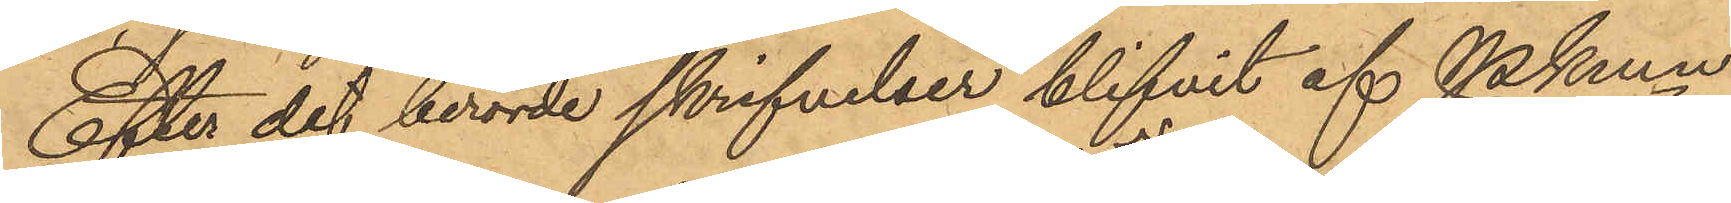Efter det berörde skrifvelser blifvit af Pkmn
